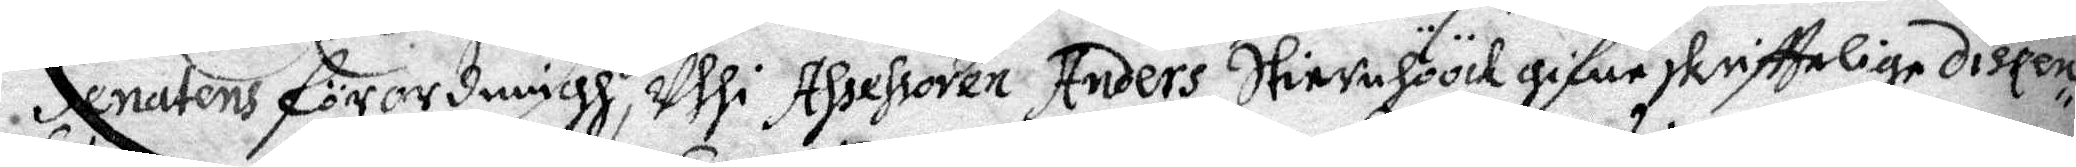Senatens förordningh, uthi Assessoren Anders Stiernhöök gifne skrifftelige dipen¬
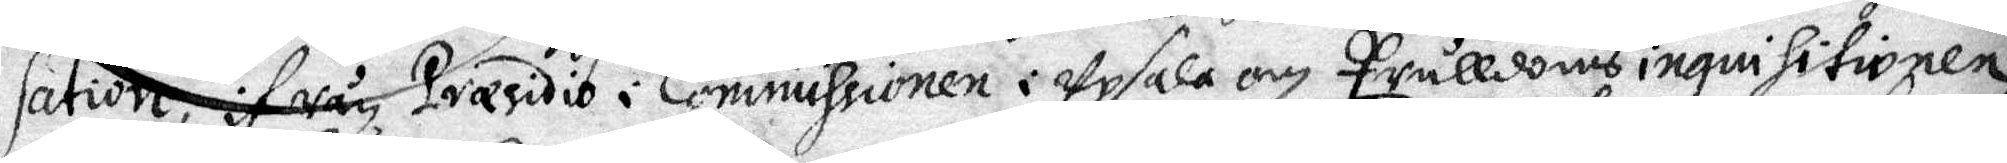sation, ifrån Præsidio i Commissionen i Upsala om Trulldoms ingnihitionen
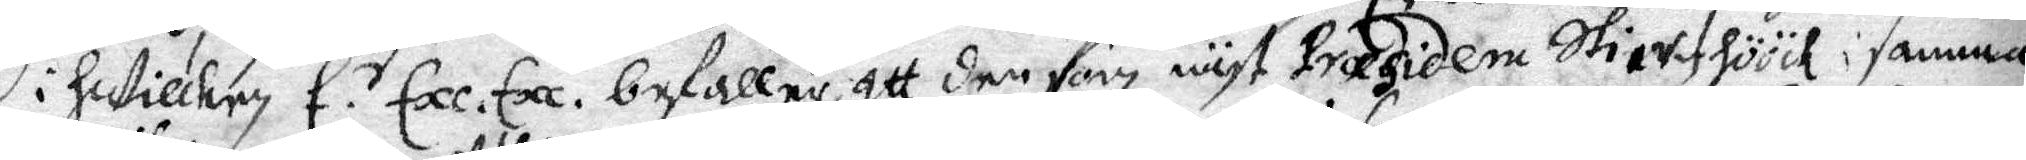i hutillkry E.r Exe. Exe. befaller att den som näst Præsidera Stiernhöök i samma
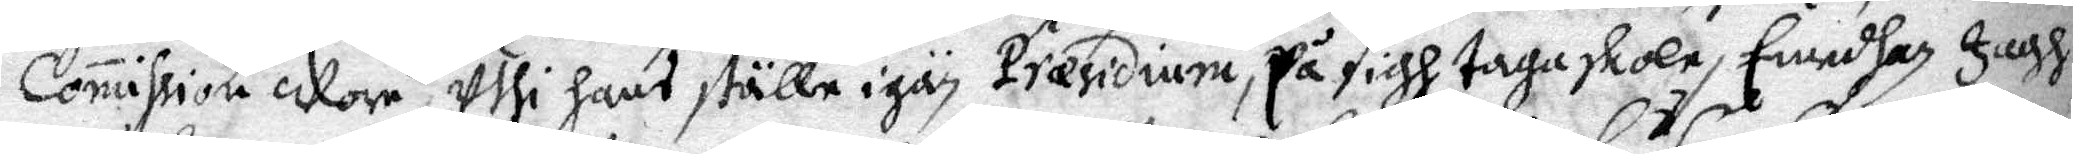Comission Worw Uthi hans ställe igän Præsidium, på sigh taga skola, Emedhan Jagh
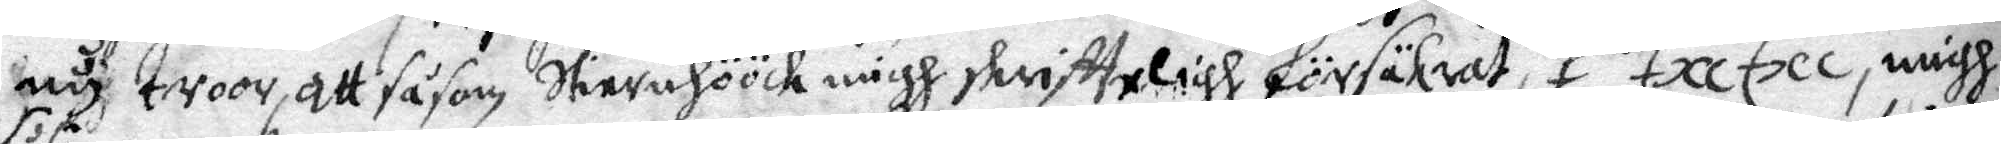nu troor att såsom Stiernhöök migh skriffteligh försäkrat, E. r Exe Exe, migh
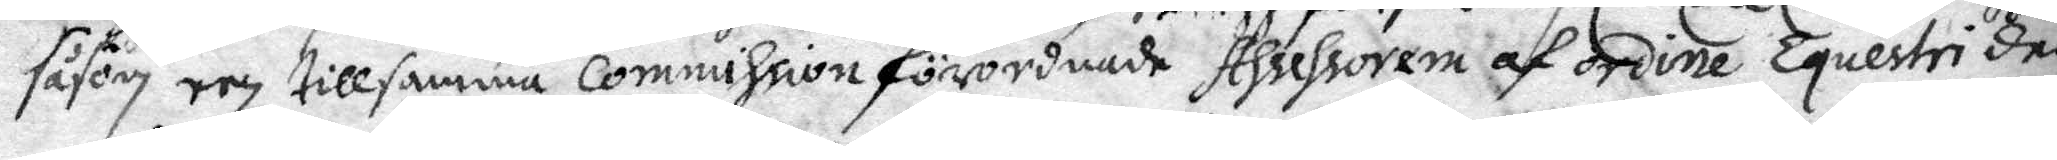såsom eey till samma Commission förordnade Assesoren af ordine Equestri der
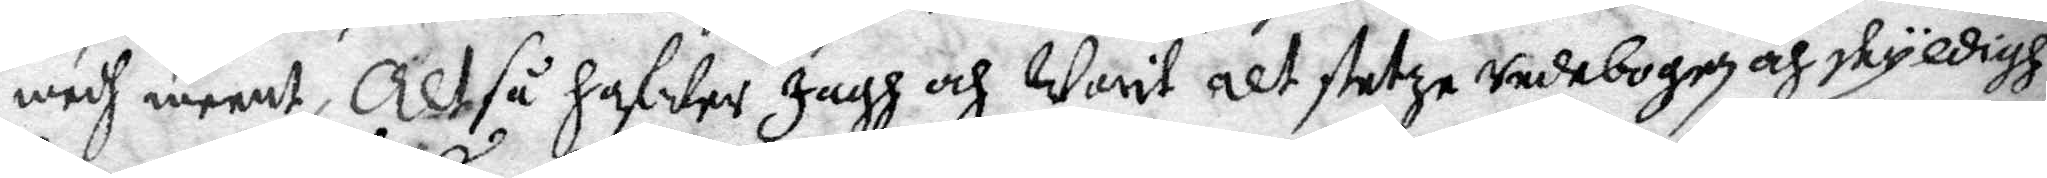medh meent, Altså hafwer jagh och Warit alt stetze vedebogen och skyldigh
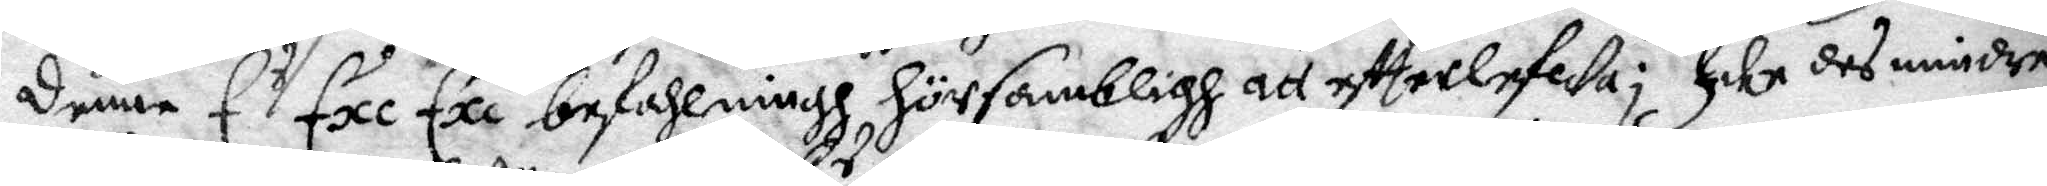denne E r Exe Exe befahlningh försambligh att effterlefWa;harr des mindre
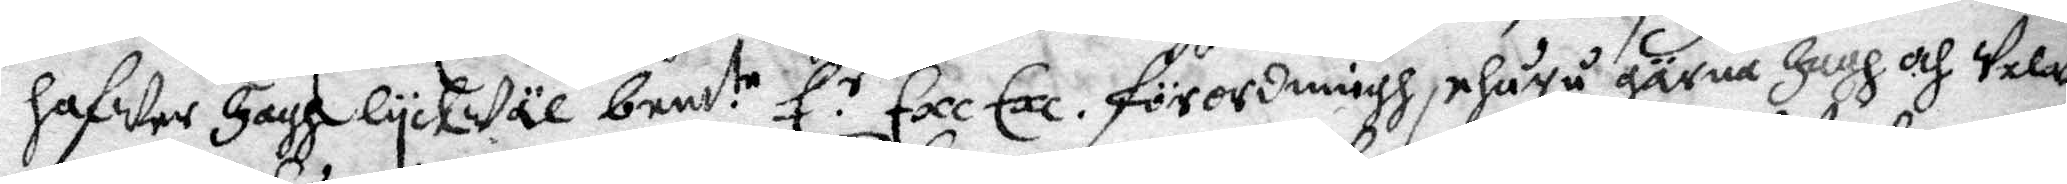hawer Jagh lyckwäl bem te E.r Exe Exe förordningh, ehuru gärna Jagh och Welat
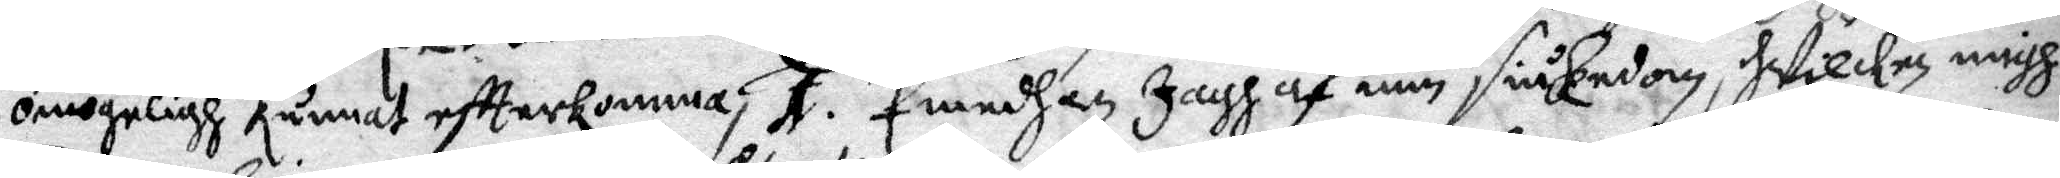omögeligh kunnat effterkomma; 1. Emedhan Jagh af min siukedom, hWilken migh
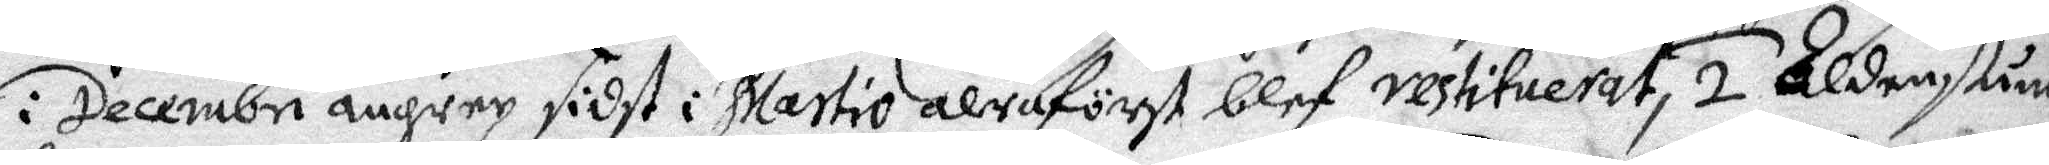i Decembri angrep sidst i Martio alraförst blef vestituerat, 2 Aldenstund
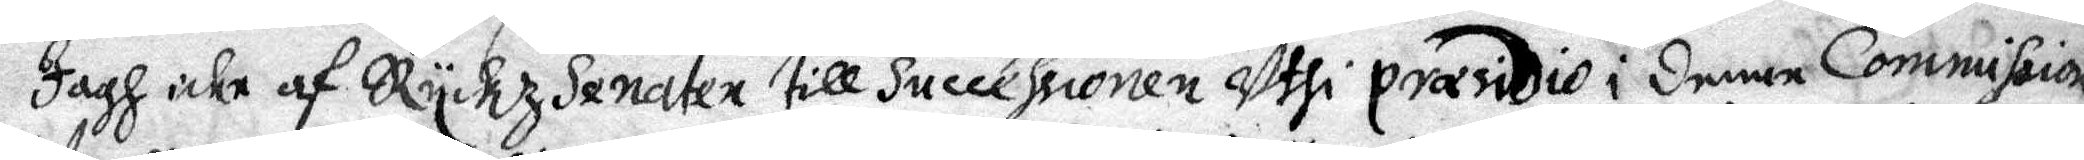Jagh icke af Eyckz Senaten till Successionen Uthi præsidio i denna Commission
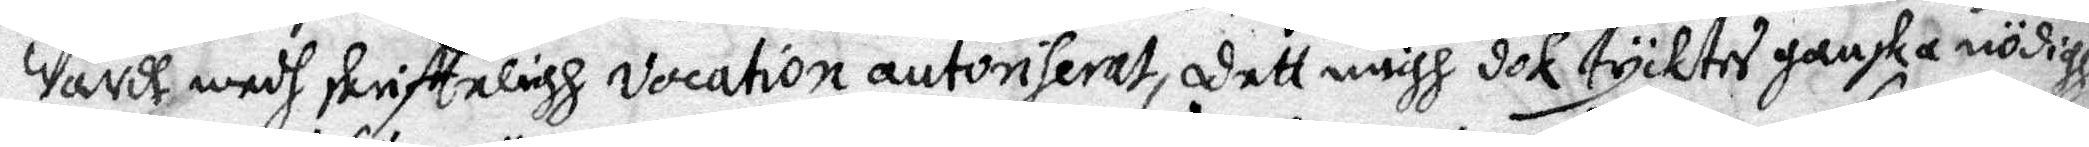Wardt medh skriffteligh Vocation autoriserat, dett migh dok tycktes ganska nödigh
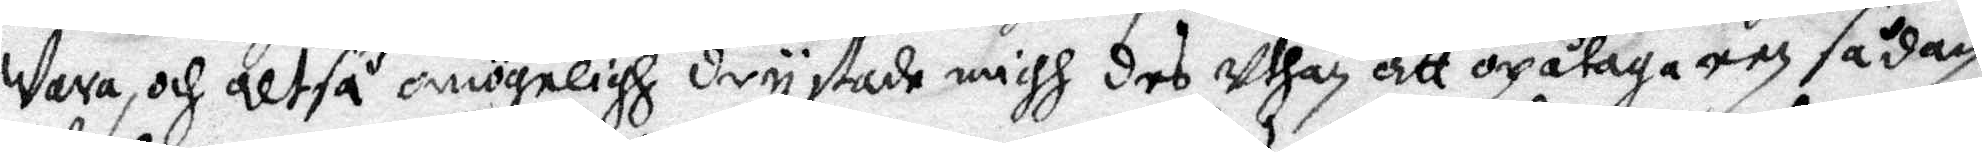Wara, och altså omögeligh drystade nåchh des Uthan att opåtaga een sådan
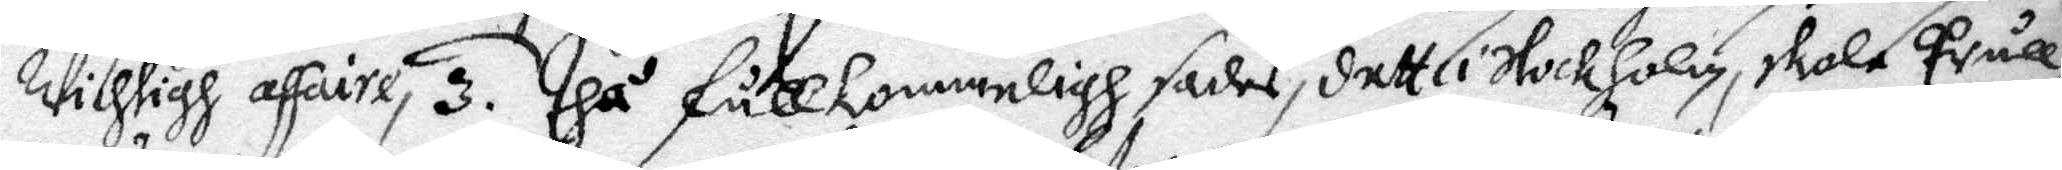Wichtigh affaire, 3 . Dhå fullkommeligh sades, dett i Stockholm, skola Tråll¬
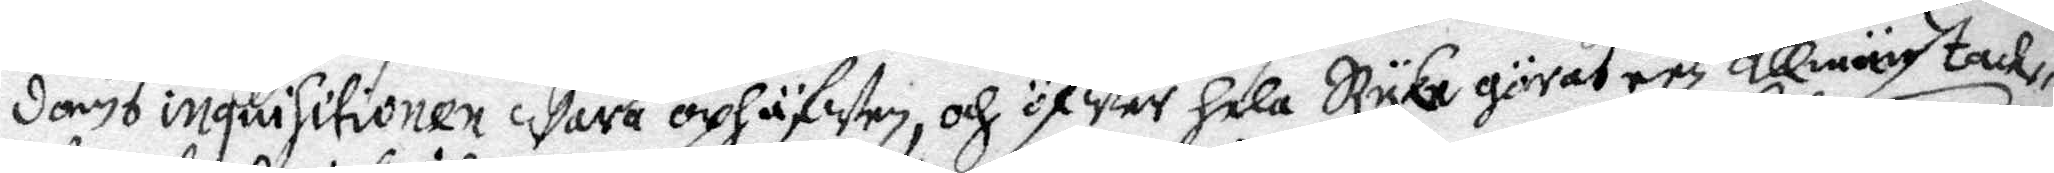doms inquisitionen wara ophäfwen, och öWfer hele Ryke göras een allmän tack¬
